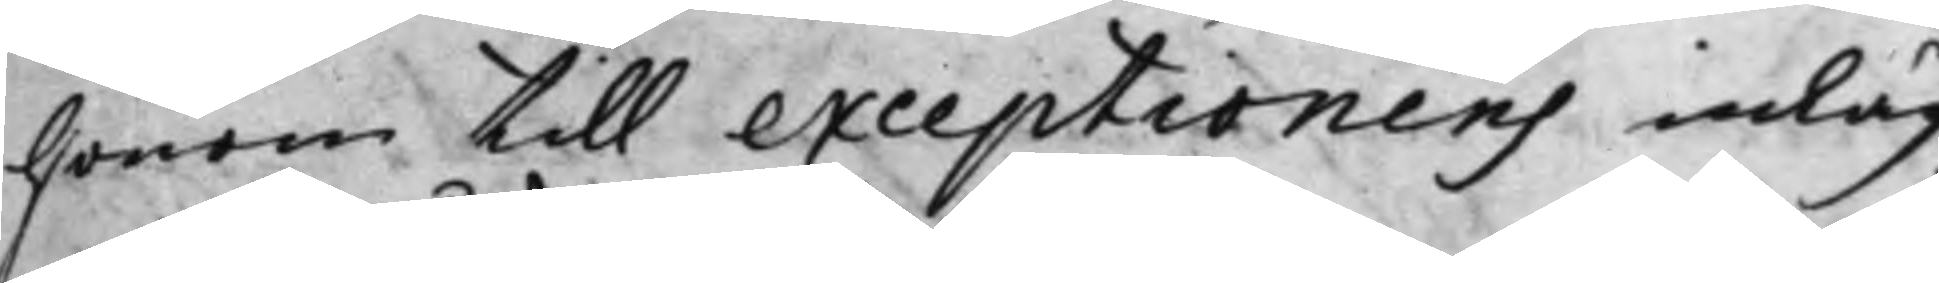honom till exceptionens inläg¬
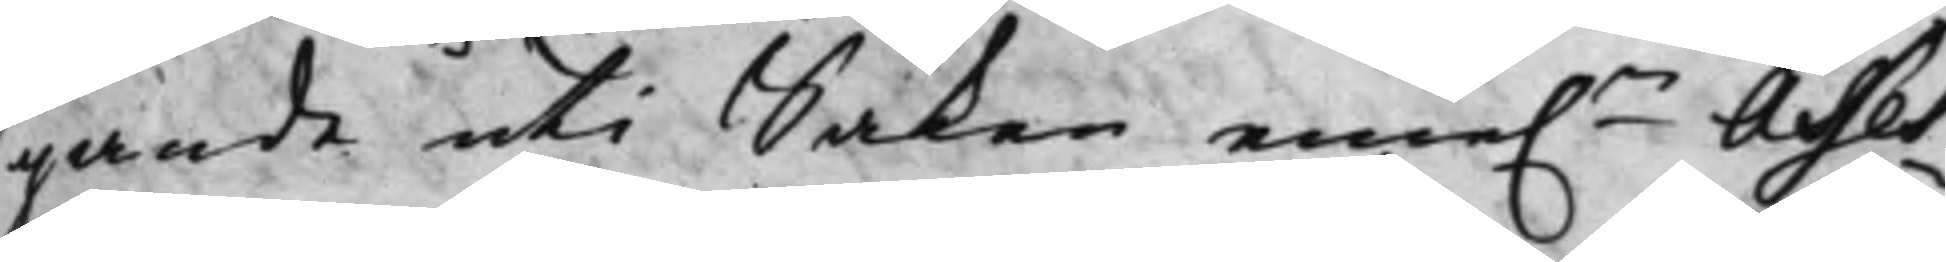gande uti Saken eme:n Asses¬
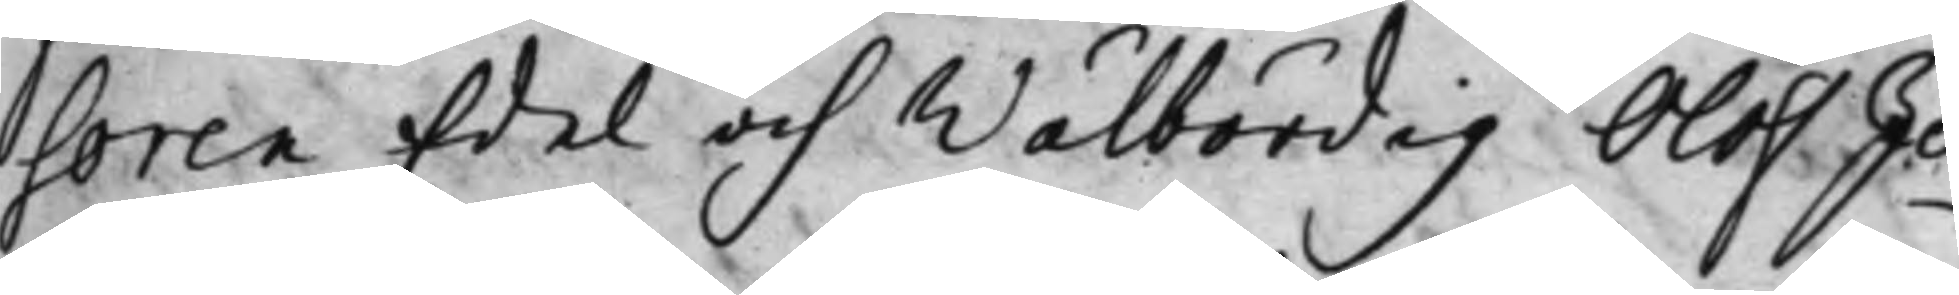soren Edel och Wälbördig Olof Jo¬
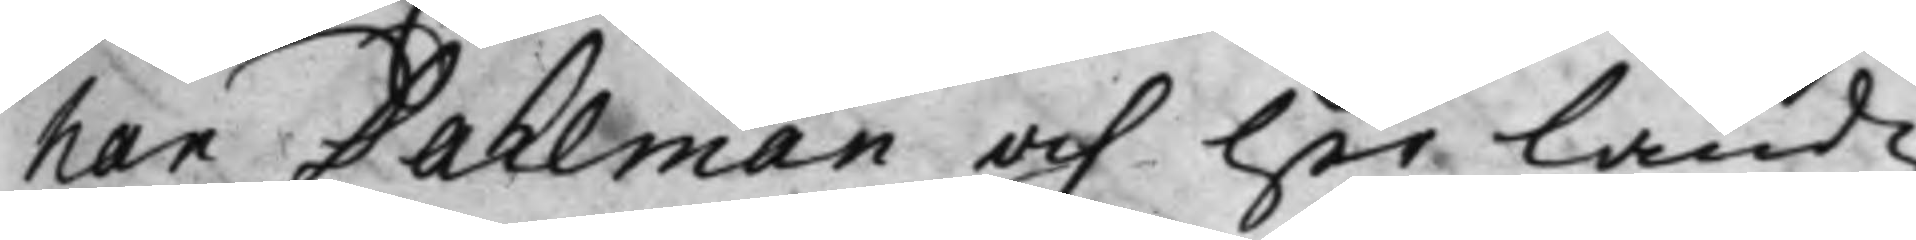han Dahlman och Her Landz¬
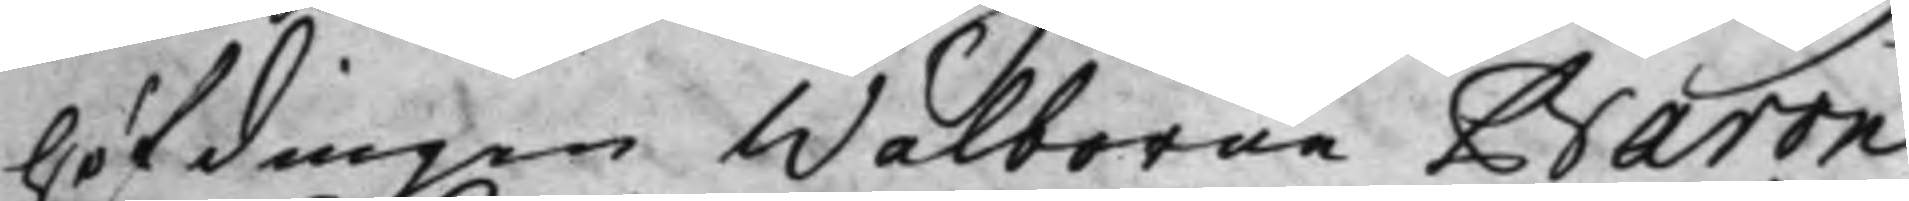höfdingen Wälborne Baron
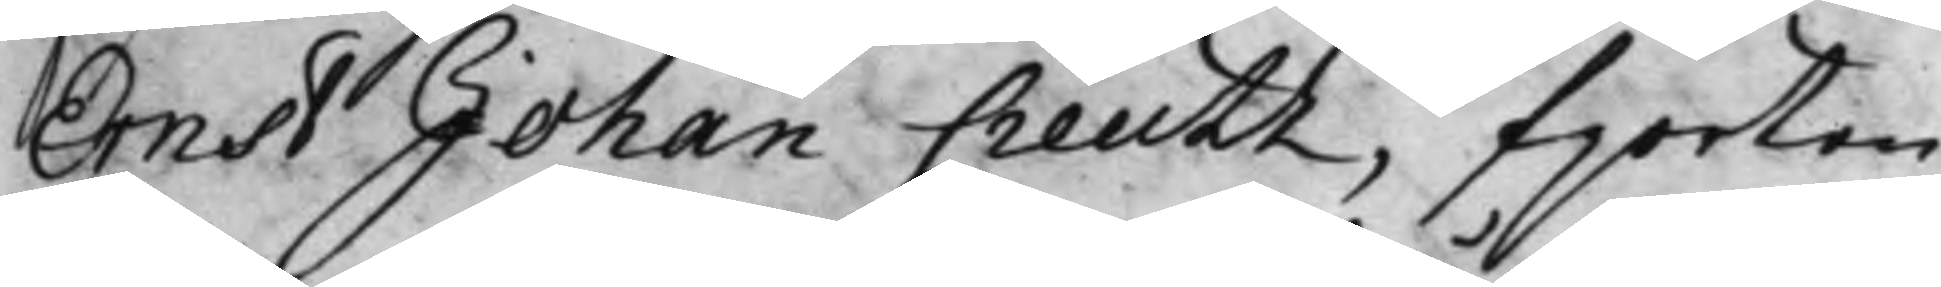Ernst Johan Creutz, fjorton
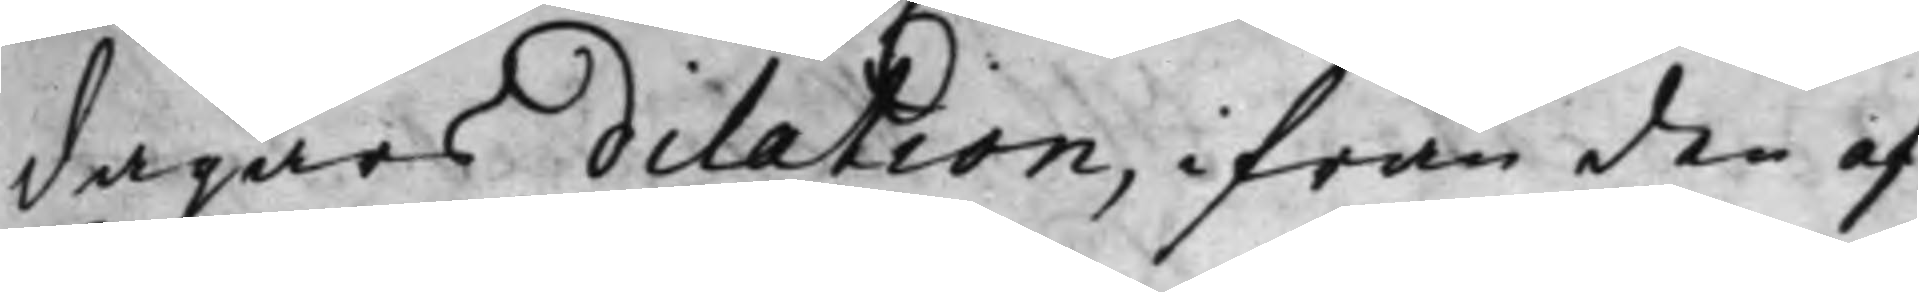dagars dilation, ifrån den af
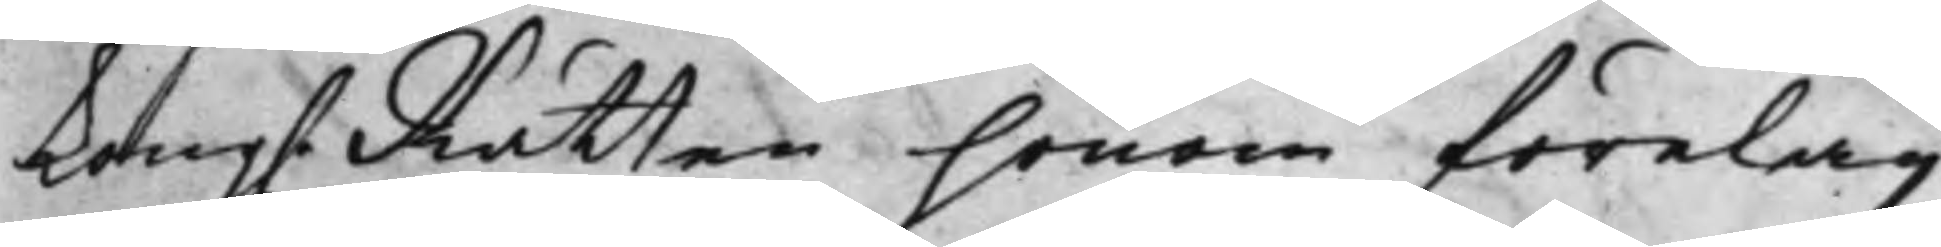Kong. Rätten honom förelag¬
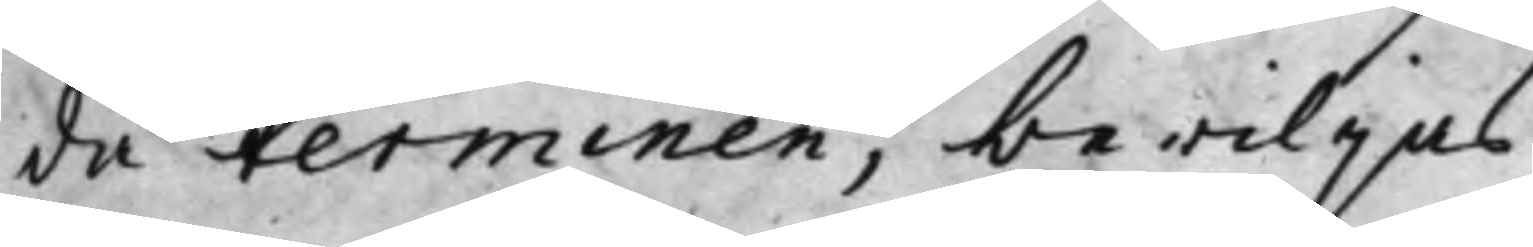da terminen, bewiljas,
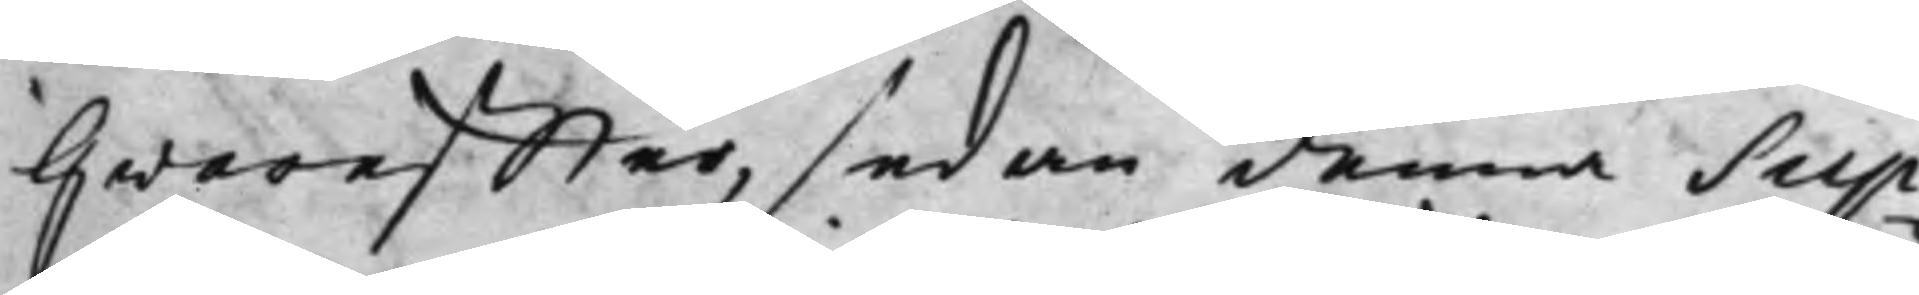Hwareffter, sedan denna Sup¬
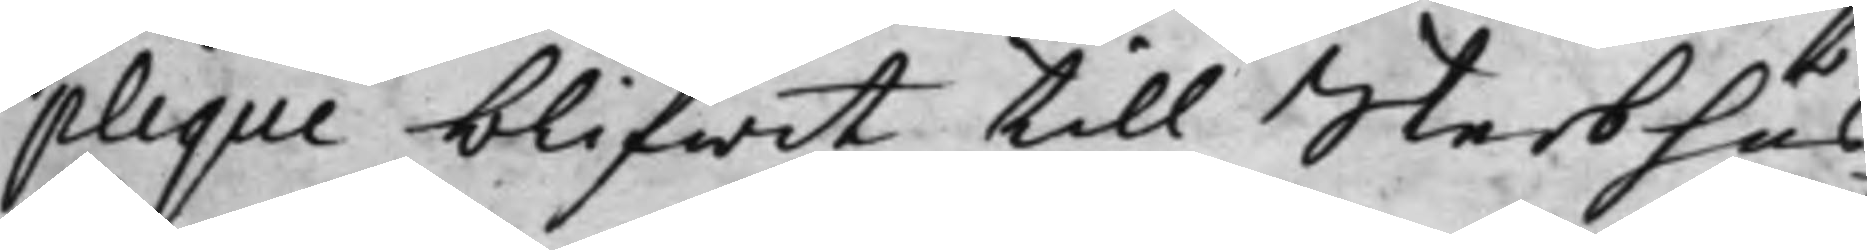plique blifwit till Sterbhus
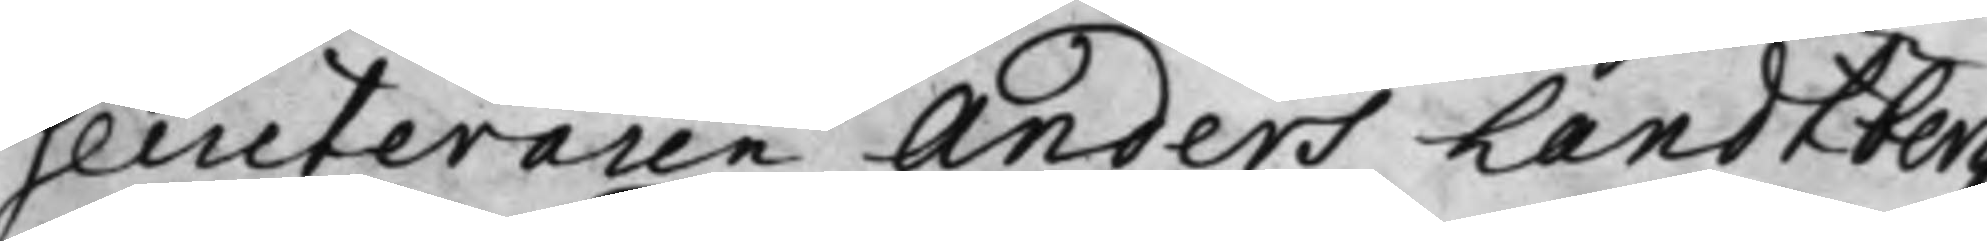Secreteraren Anders Landtberg
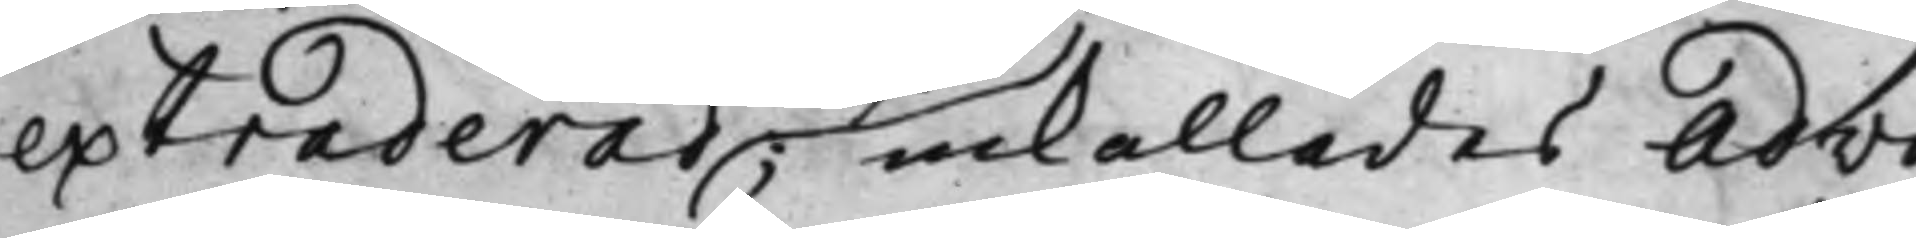extraderad inkallades Advo¬
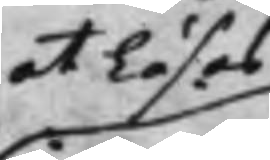at Läsas
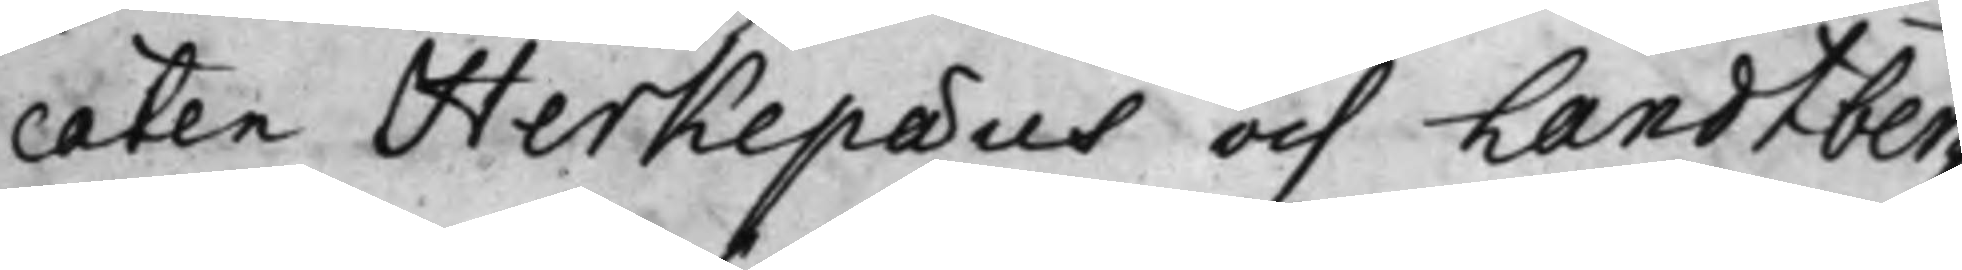caten Herkepaeus och Landtberg,
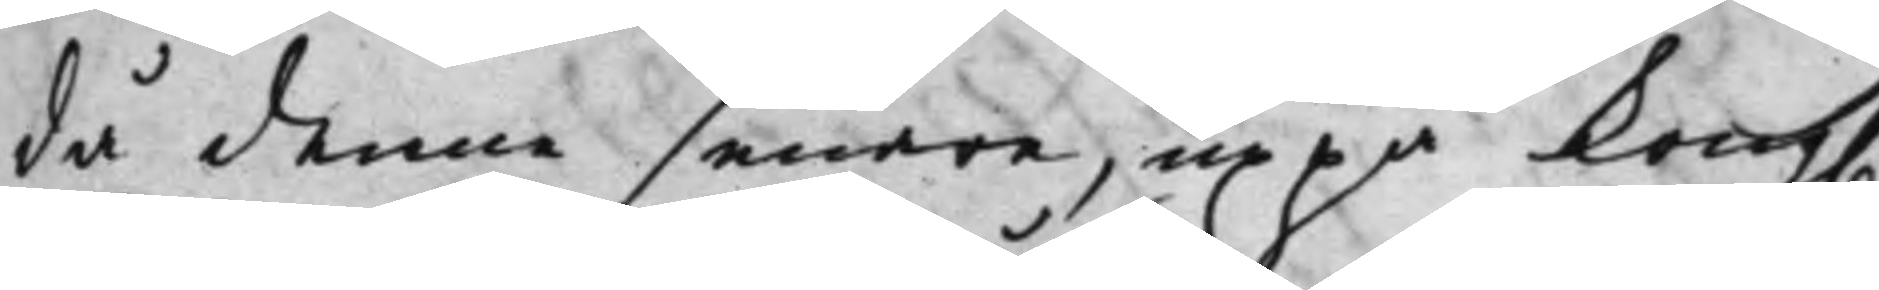då denne senare, uppå Kong.
